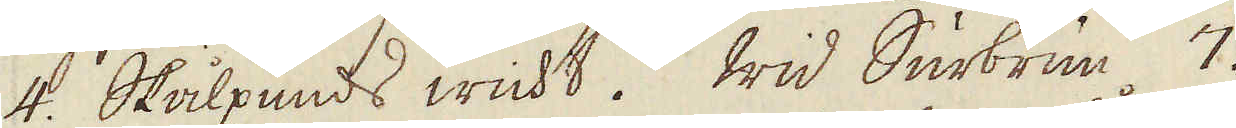4. Skålpunds wicht. Wid Surbrun 7.
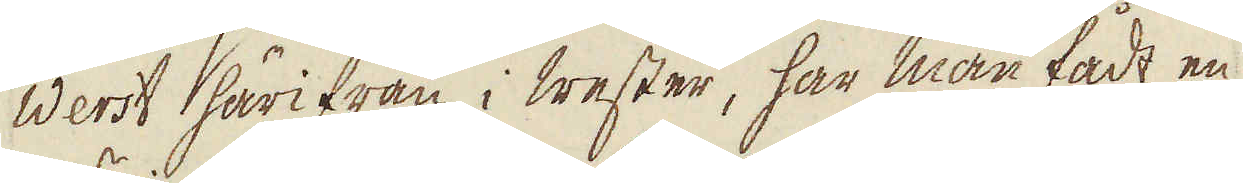Werst härifrån i wester, har man fådt en
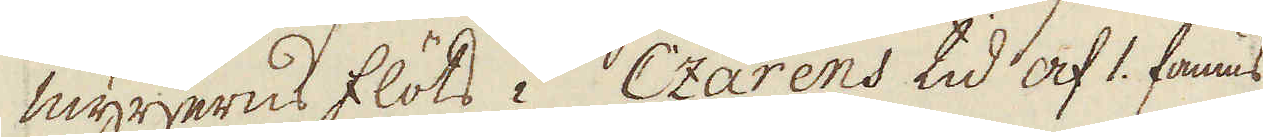myrjerns flöts i Czarens tid af 1. famns
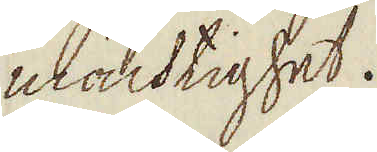mächtighet.
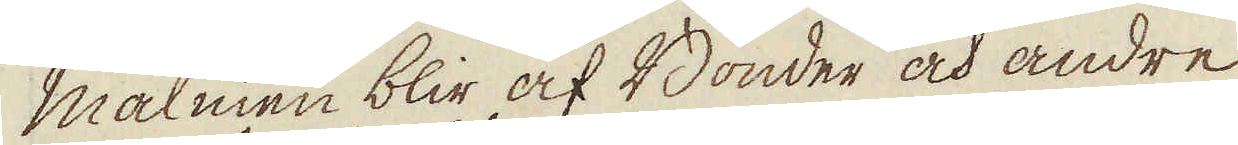Malmen blir af Bönder och andre
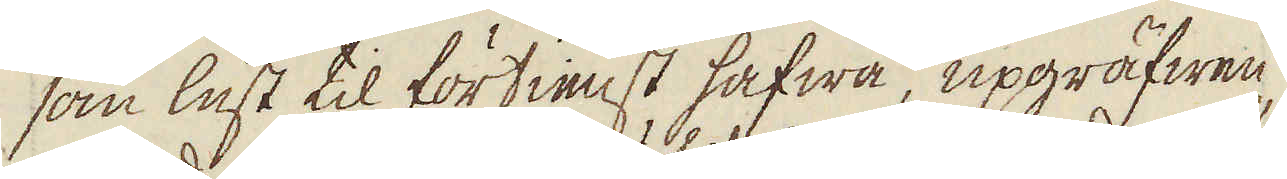som lust til förtienst hafwa, upgräfwen,
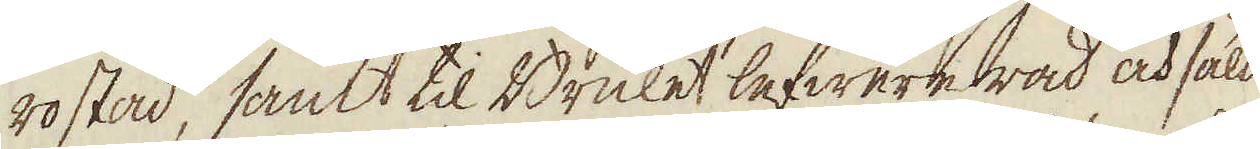rostad, samt til Bruket lefwererad och såld
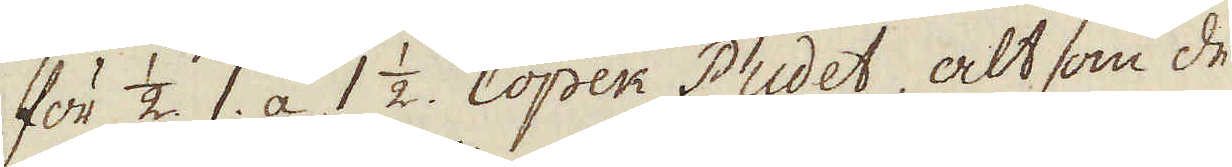för 1/2. 1. a 1 1/2. Copek Pudet, alt som de
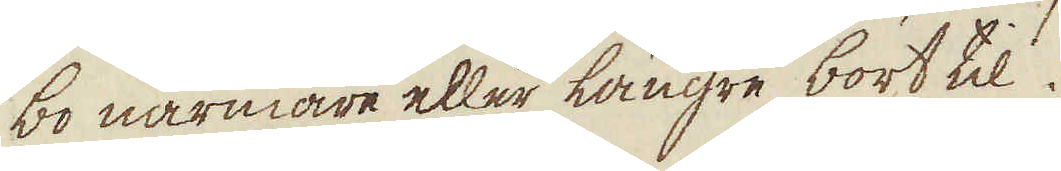bo närmare eller långre bort til.
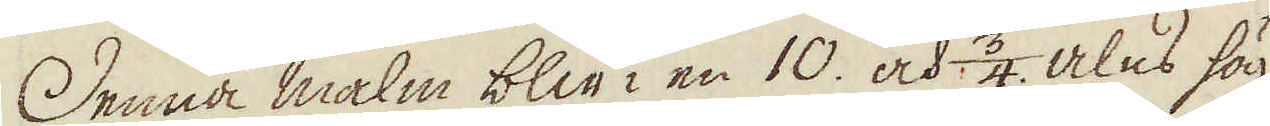Denna malm blir i en 10. och 3/4 alns hög
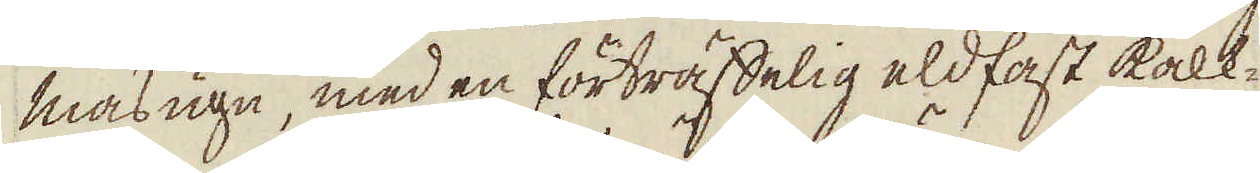masugn, med en förträffelig eldfast kalk-
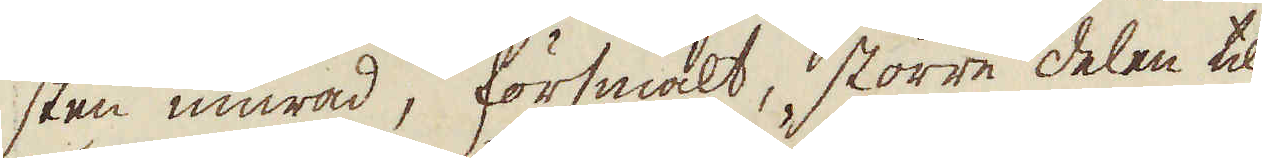sten murad, försmält, större delen til
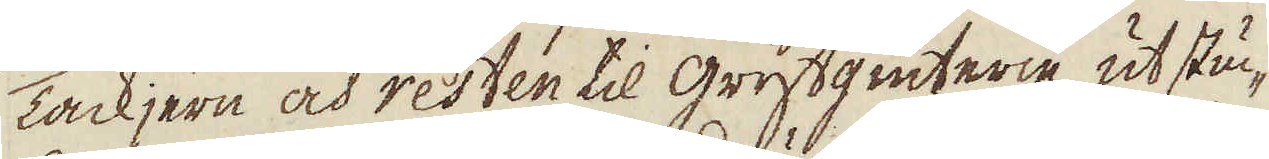Tackjern och resten til grytgiuterie ut stuc-
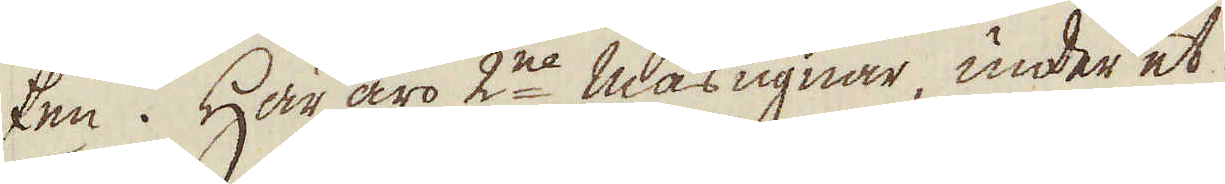ken. Här äro 2ne masugnar, under et
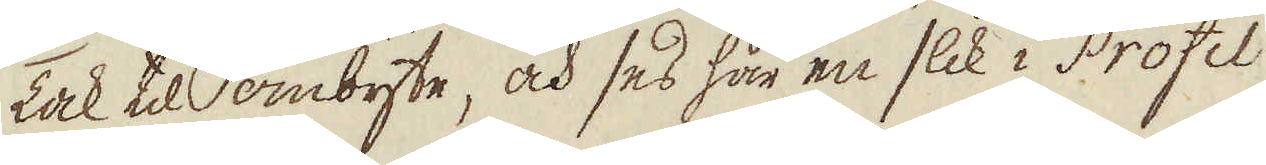Tak til ombyte, och ses här en slik i Profil
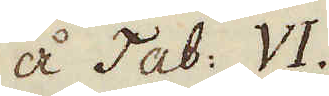å Tab: VI.
